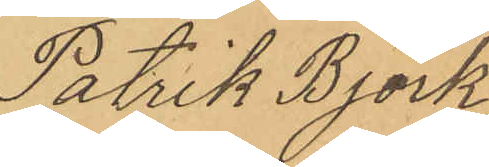Patrik Björk
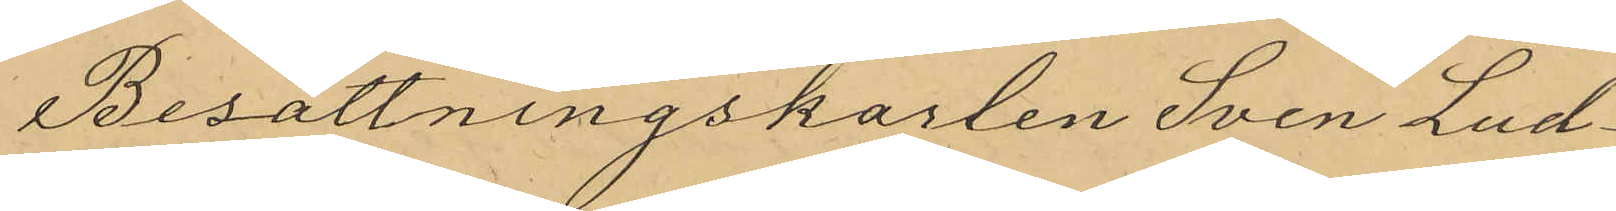Besättningskarlen Sven Lud¬
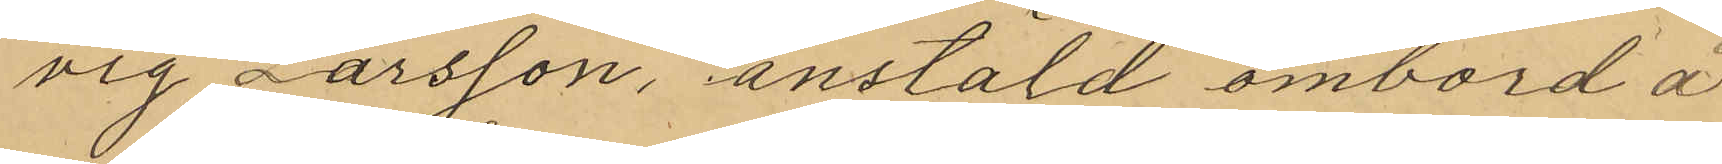vig Larsson, anstäld ombord å
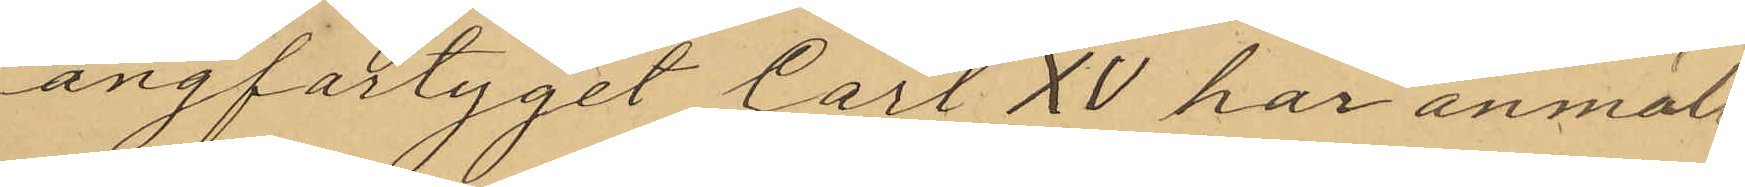ångfartyget Carl XV har anmält
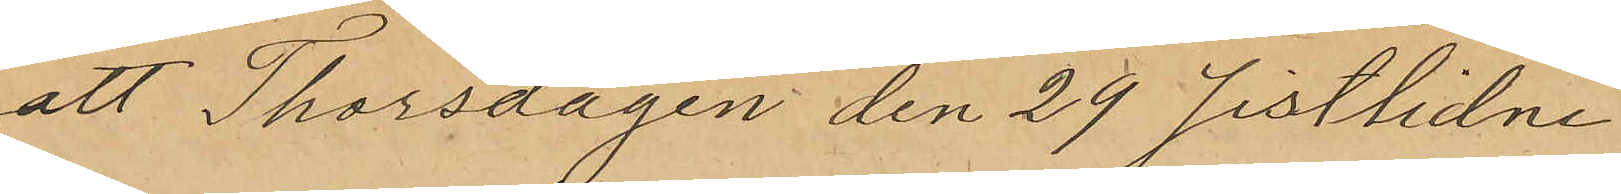att Thorsdagen den 29 sistlidne
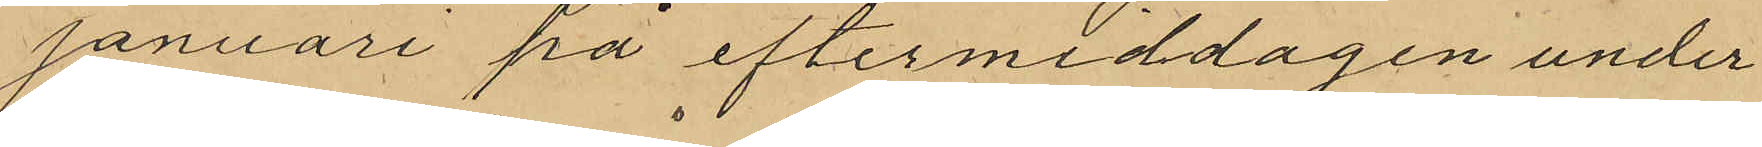Januari på eftermiddagen under
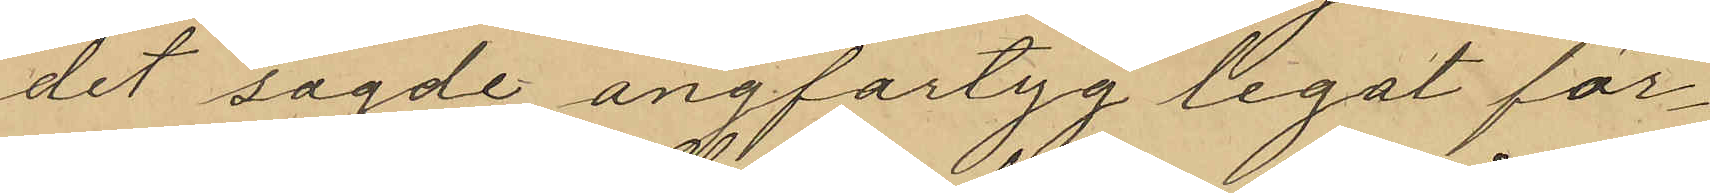det sagde ångfartyg legat för¬
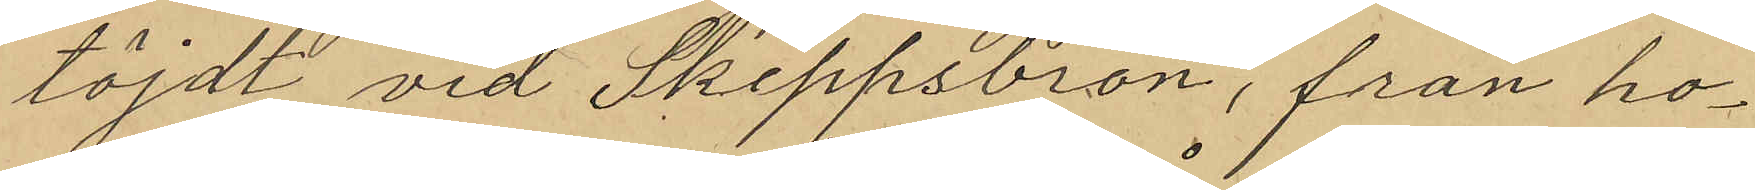töjdt vid Skeppsbron, från ho¬
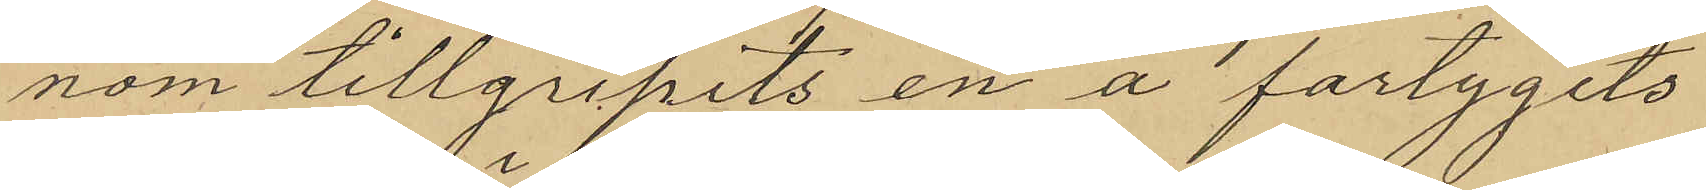nom tillgripits en å fartygets
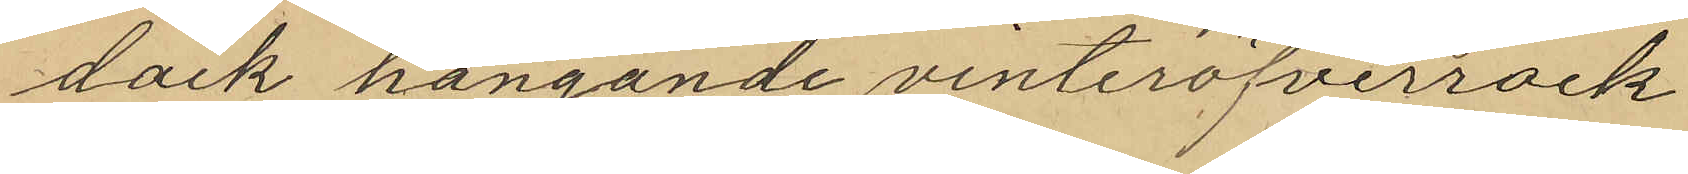däck hängande vinteröfverrock
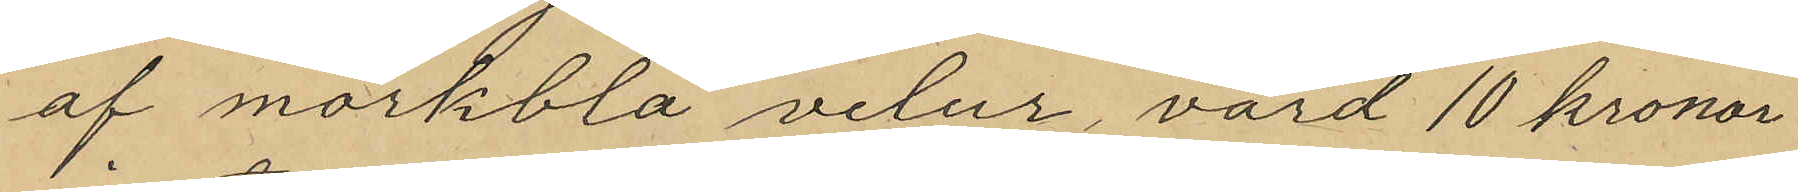af mörkblå velur, värd 10 kronor
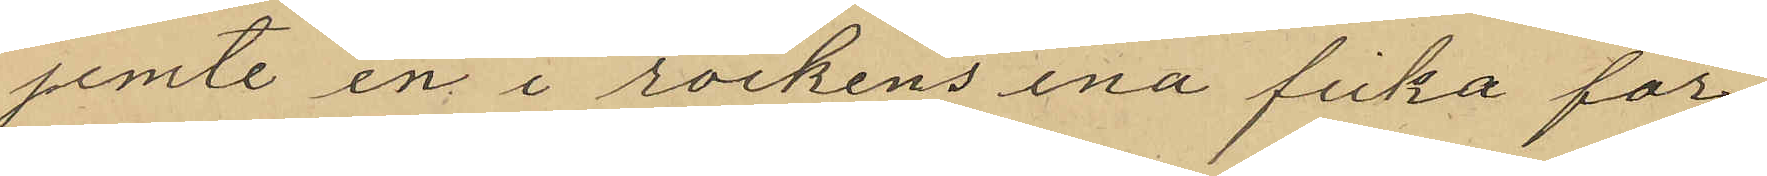jemte en i rockens ena ficka för¬
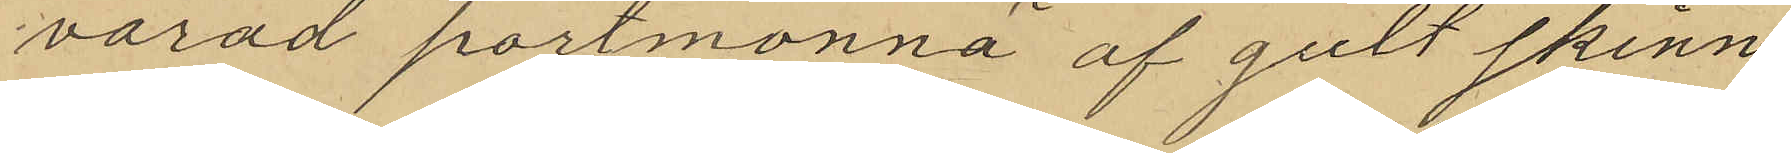varad portmonnä af gult skinn
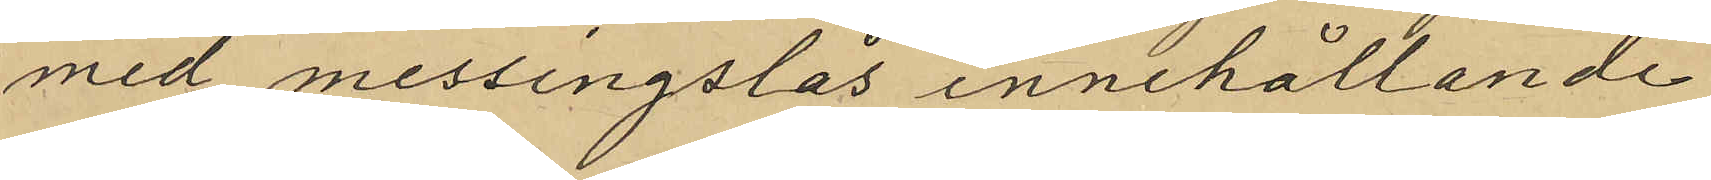med messingslås innehållande
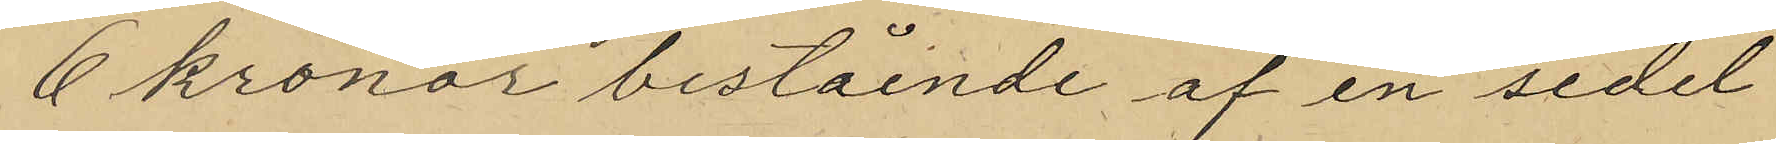6 kronor bestående af en sedel
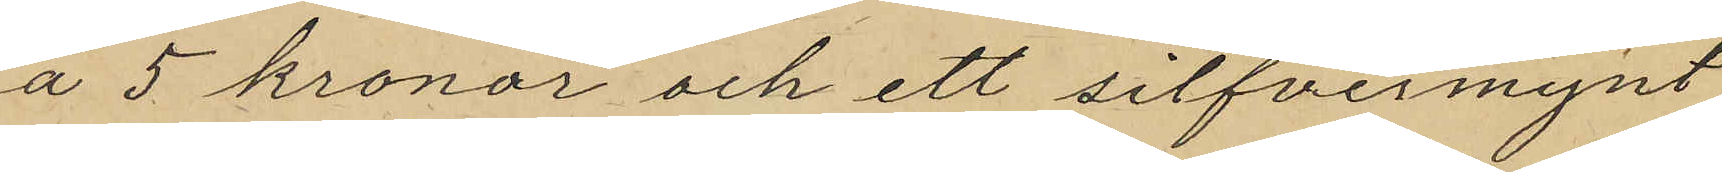å 5 kronor och ett silfvermynt
